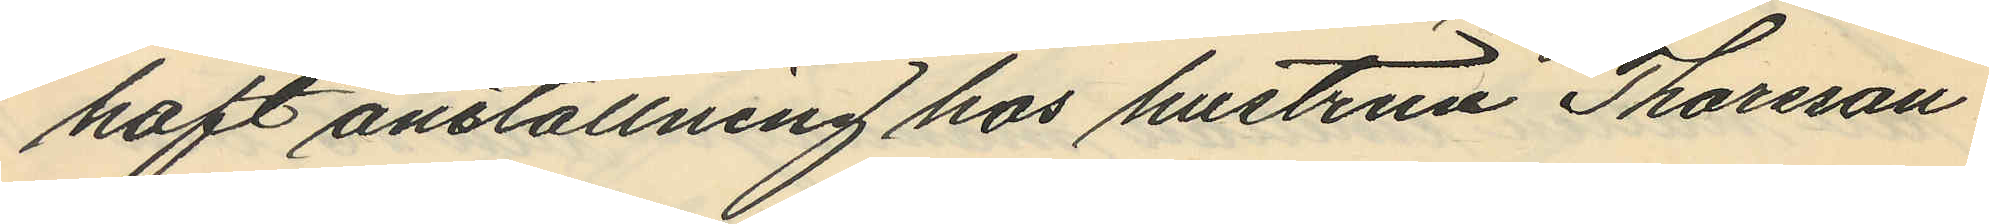haft anställning hos hustrun Thorsson
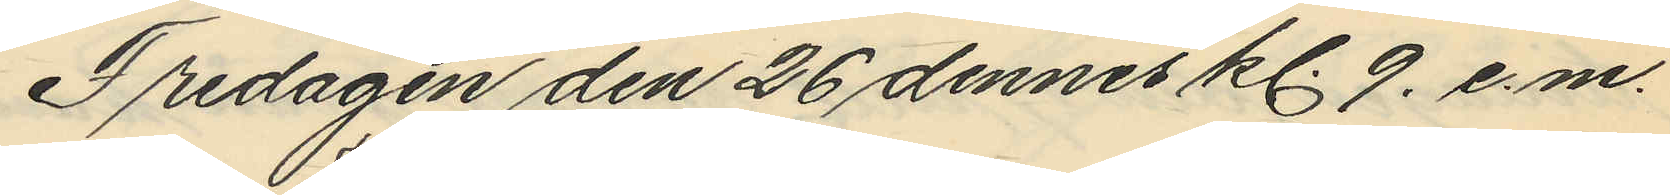Fredagen den 26 dennes kl. 9. e.m.
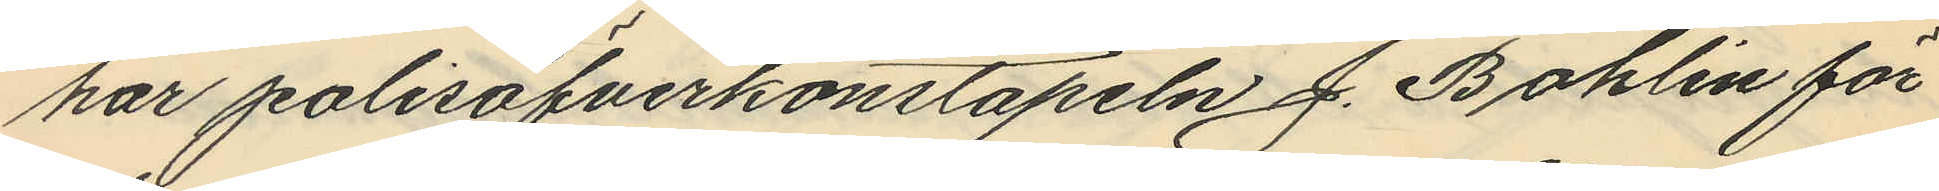har polisöfverkonstapeln J. Bohlin för
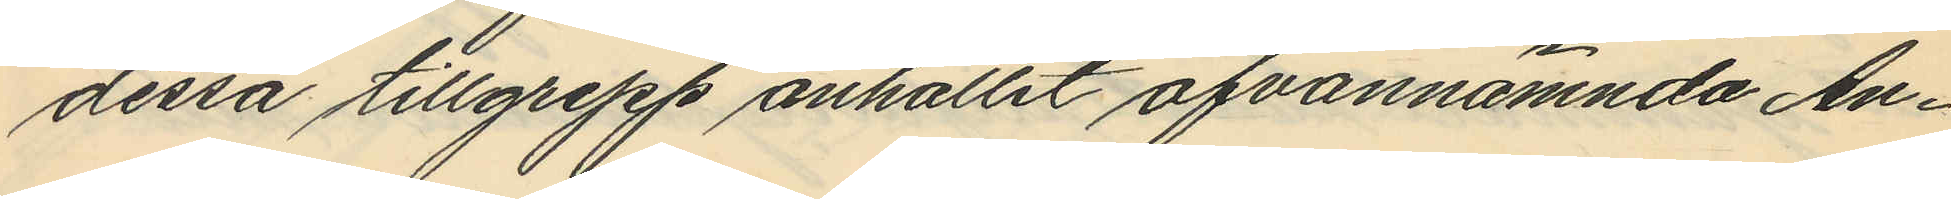dessa tillgrepp anhållit ofvannämnda An¬
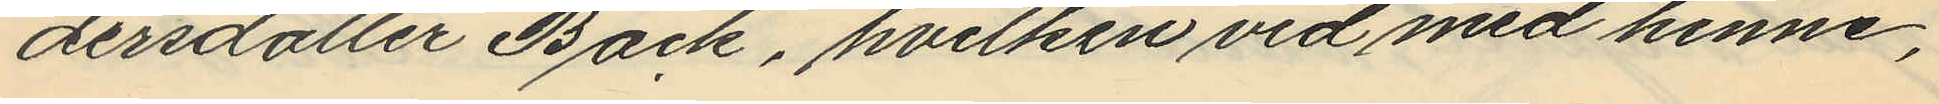dersdotter Back, hvilken vid med henne,
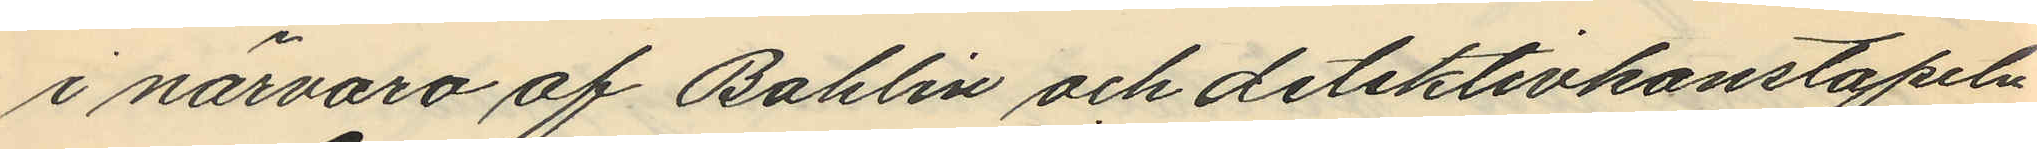i närvaro af Bohlin och detektivkonstapeln
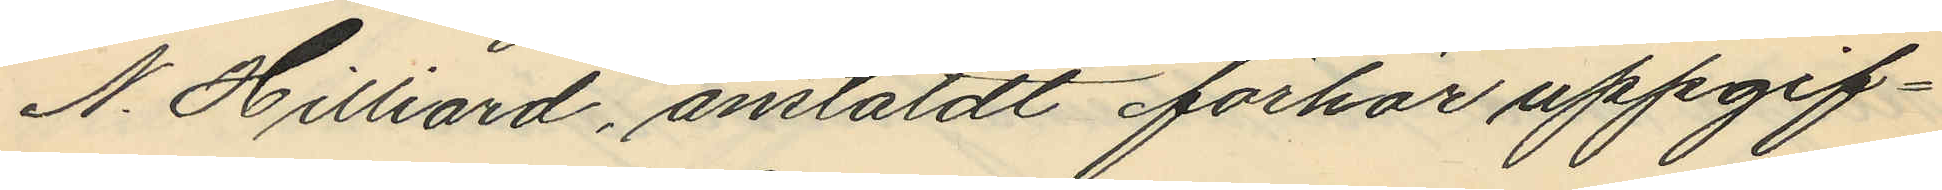N. Hilliard, anstäldt förhör uppgif¬
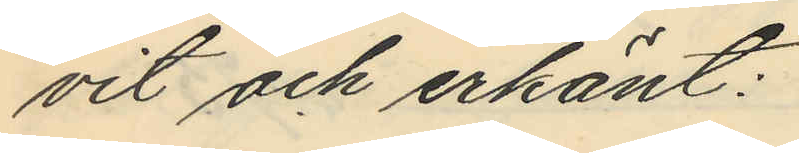vit och erkänt:
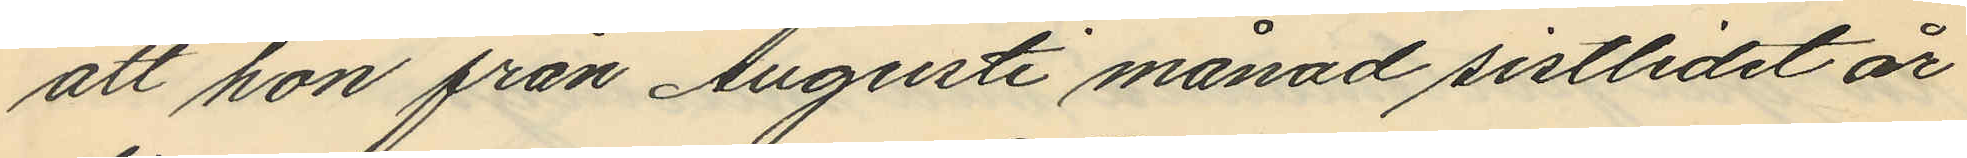att hon från Augusti månad sistlidet år
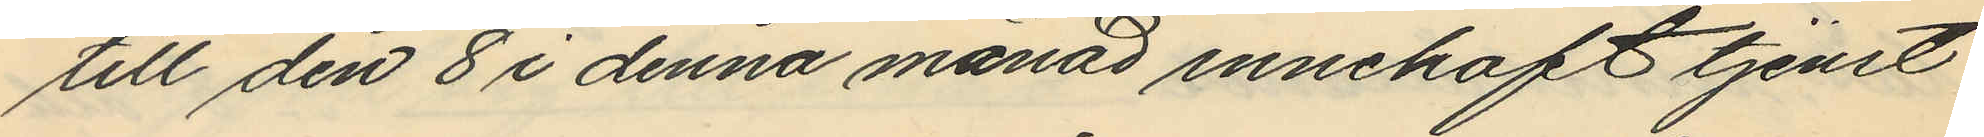till den 8 i denna månad innehaft tjenst
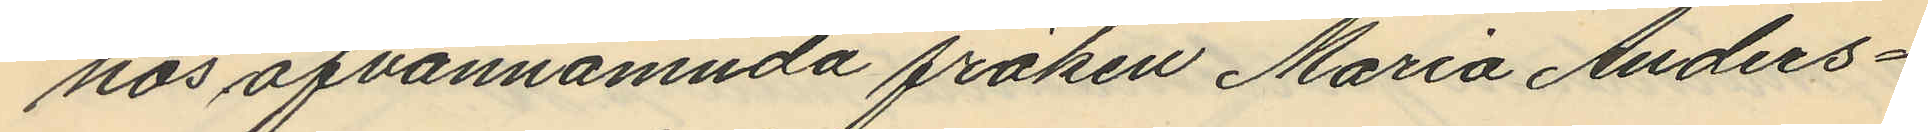hos ofvannämnda fröken Maria Anders¬
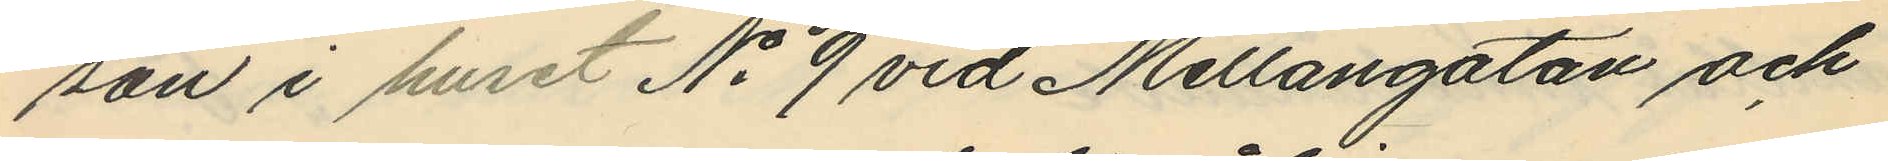son i huset No 9 vid Mellangatan och
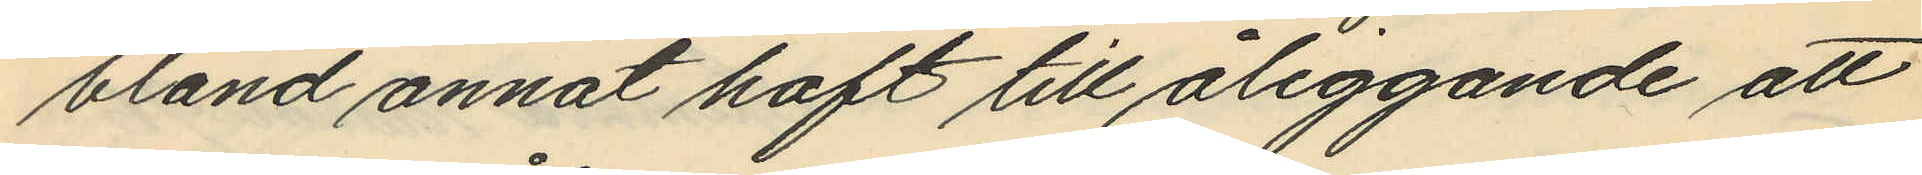bland annat haft till åliggande att
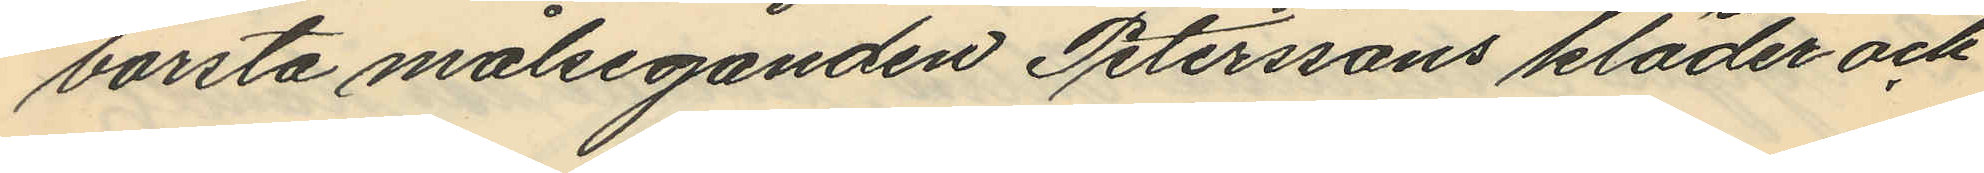borsta målseganden Peterssons kläder och
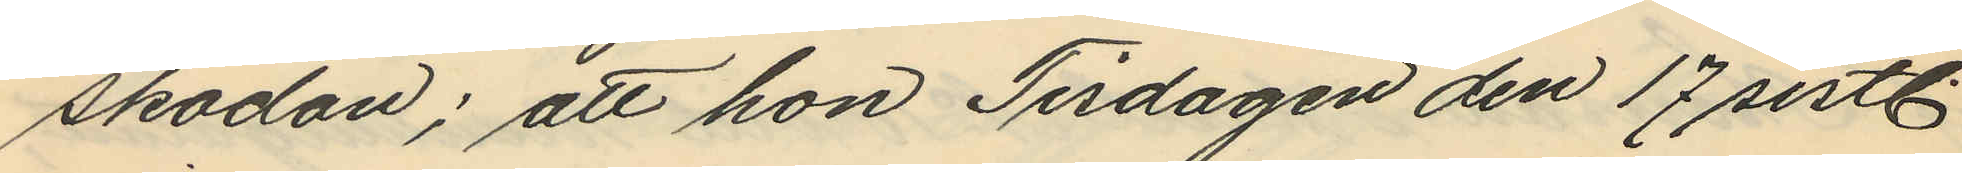skodon; att hon Tisdagen den 17 sistl.
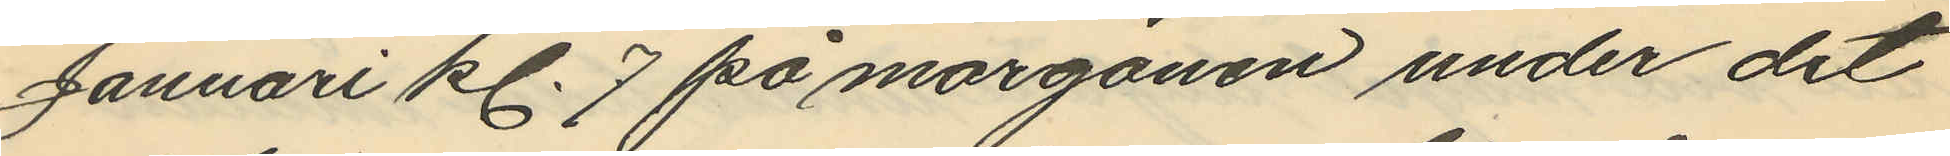Januari kl. 7 på morgonen under det
